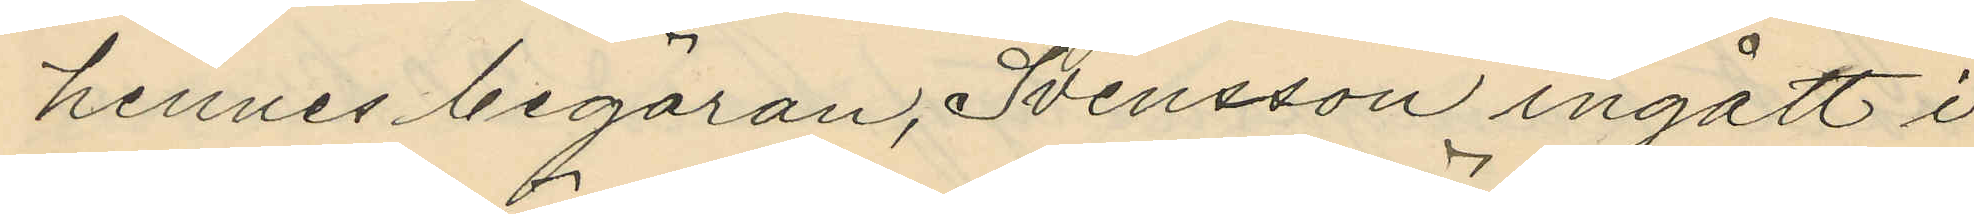hennes begäran, Svensson ingått i
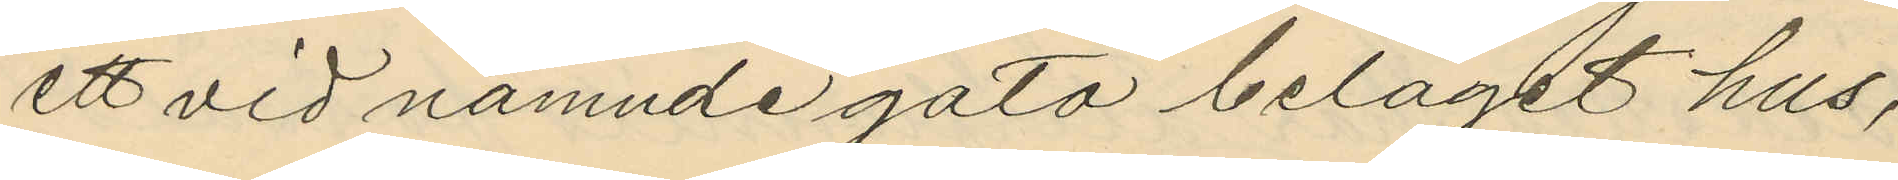ett vid nämnde gata beläget hus,
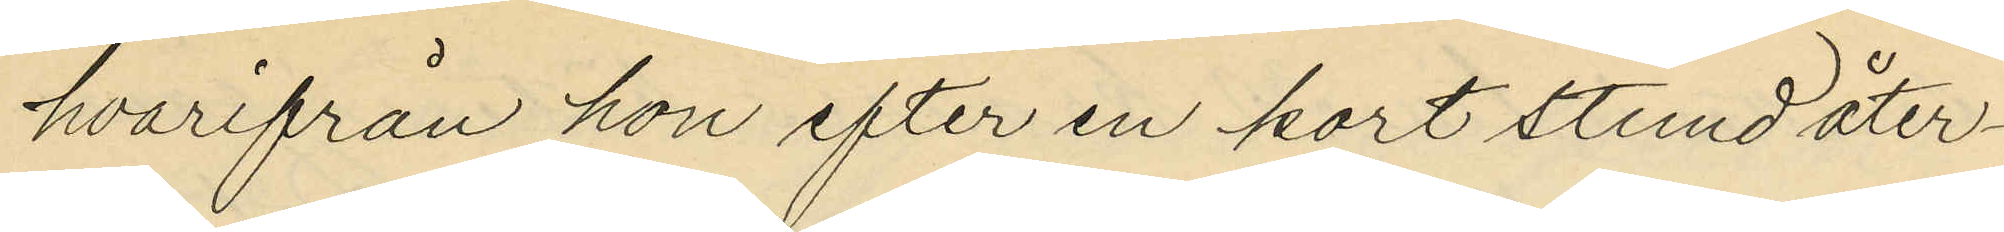hvarifrån hon efter en kort stund åter¬
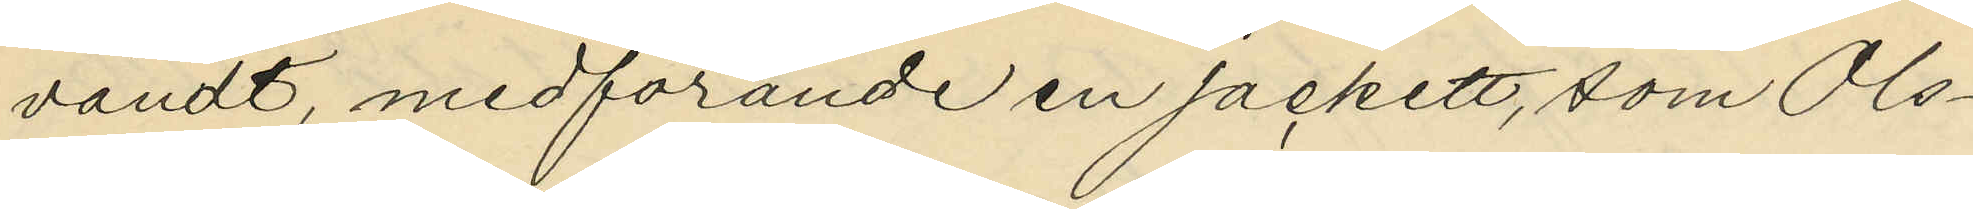vändt, medförande en jackett, som Ols¬
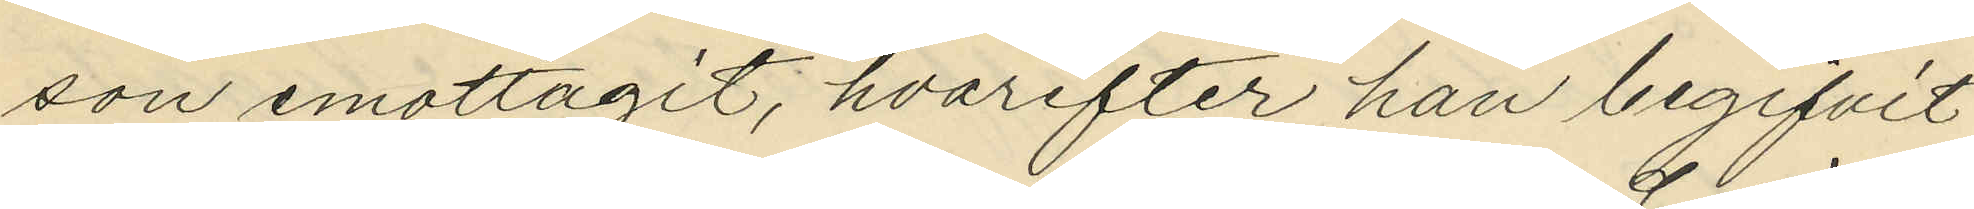son emottagit, hvarefter han begifvit
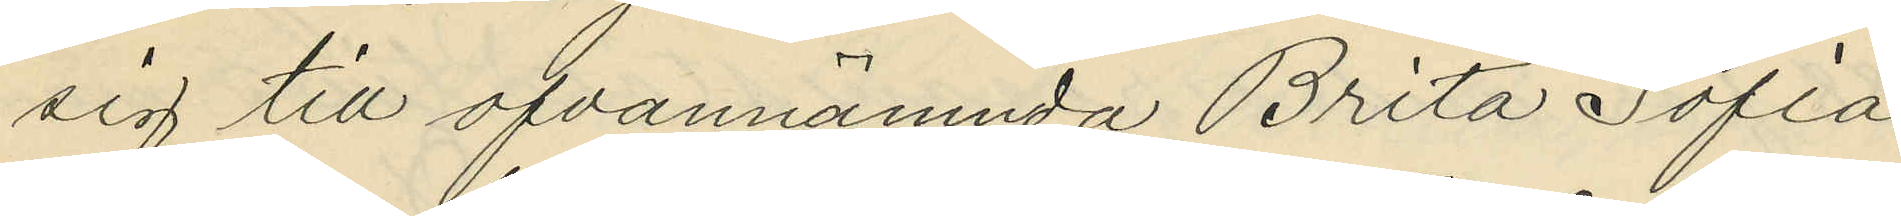sig till ofvannämnda Brita Sofia
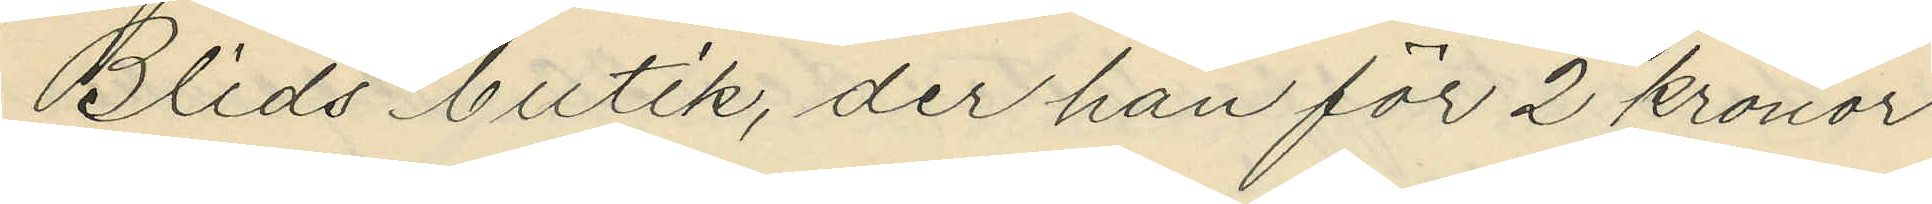Blids butik, der han för 2 kronor
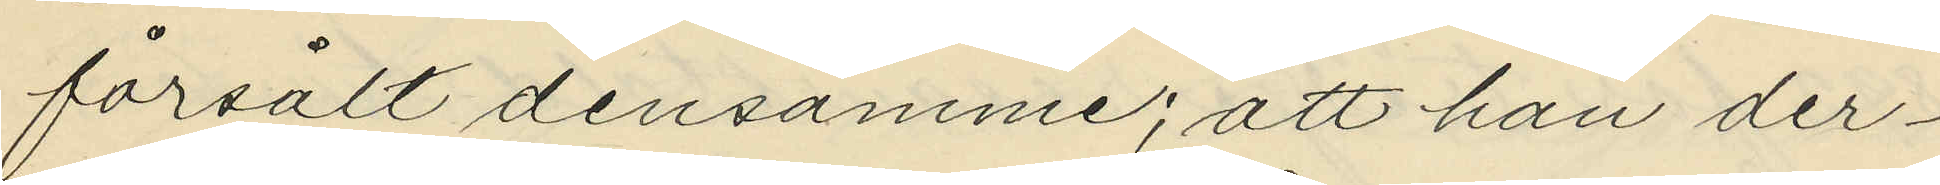försålt densamme; att han der¬
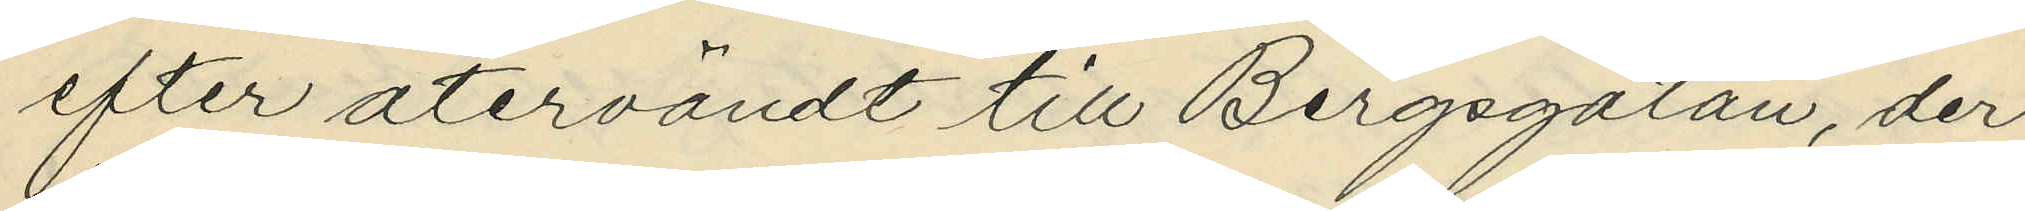efter återvändt till Bergsgatan, der
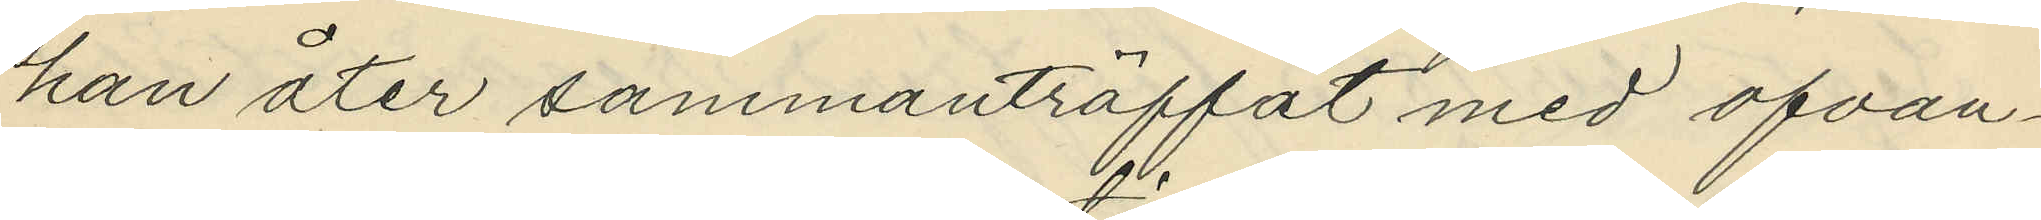han åter sammanträffat med ofvan¬
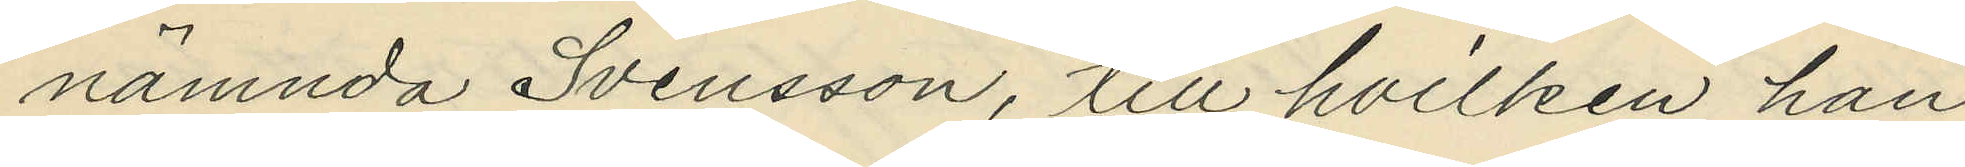nämnda Svensson, till hvilken han
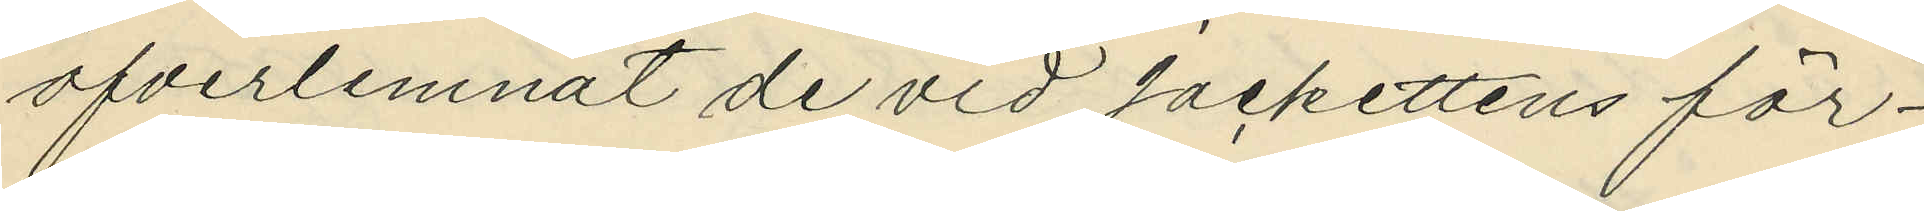öfverlemnat de vid jackettens för¬
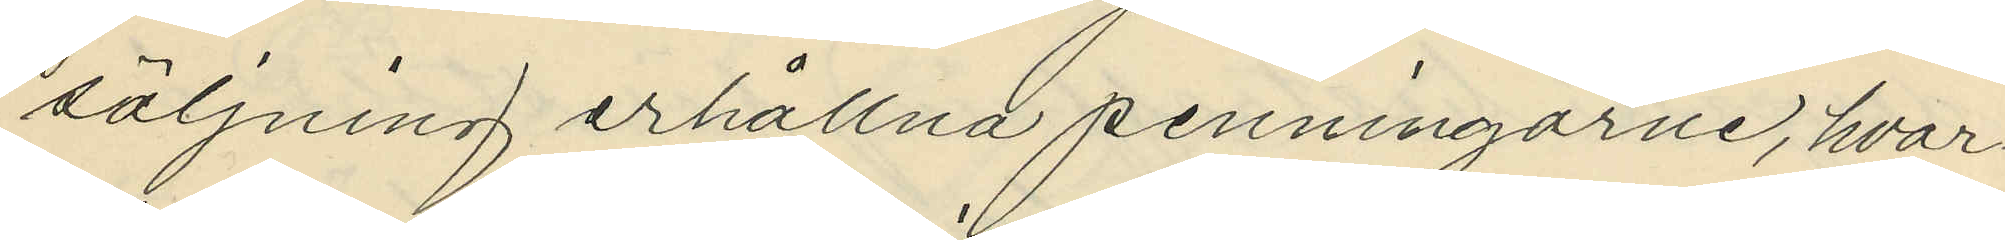säljning erhållna penningarne, hvar¬
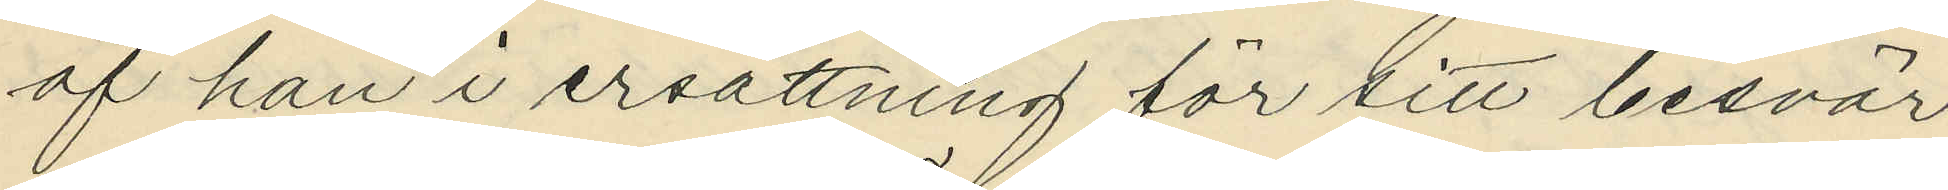af han i ersättning för sitt besvär
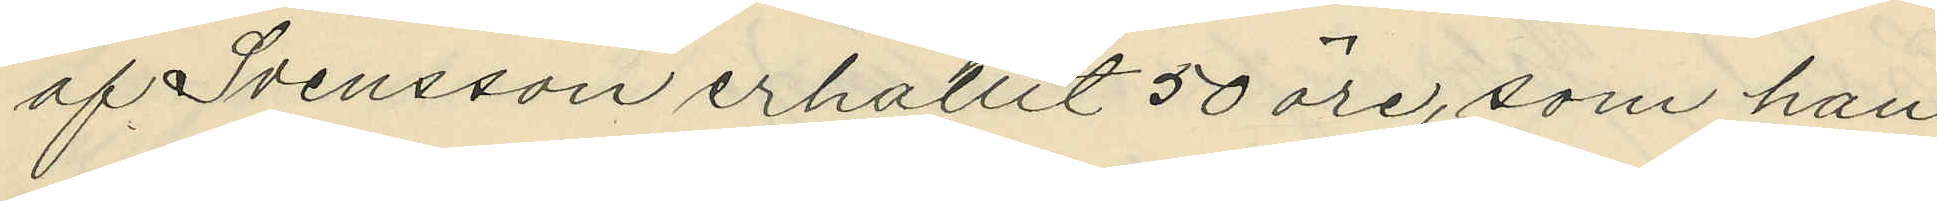af Svensson erhållit 50 öre, som han
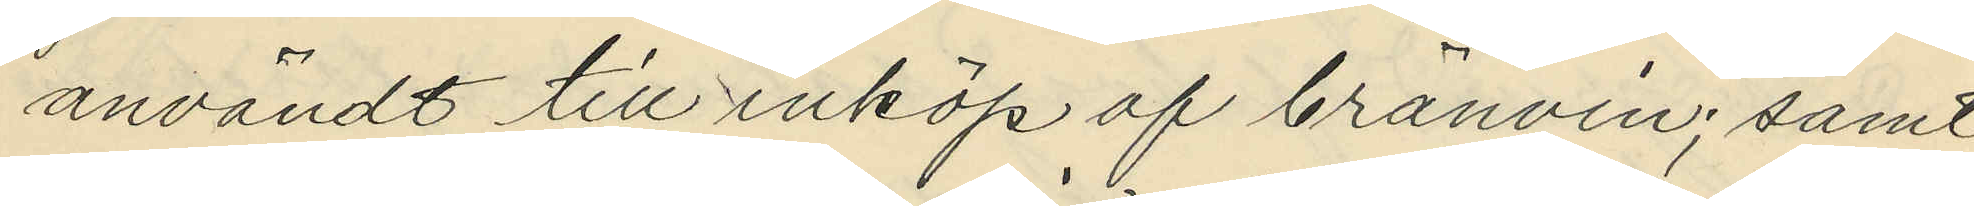användt till inköp af bränvin; samt
